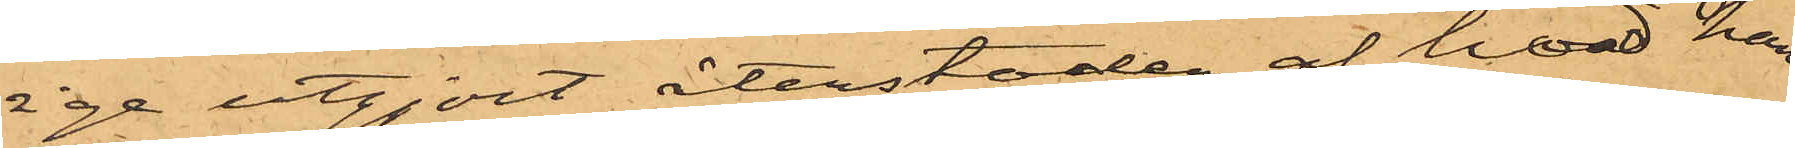ige utgjort återstoden af hvad han
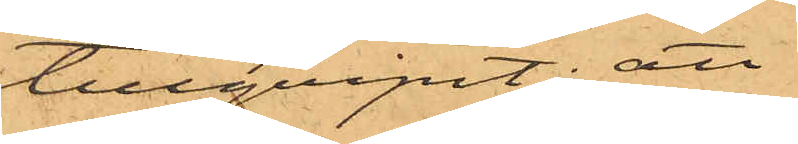tillgripit; att
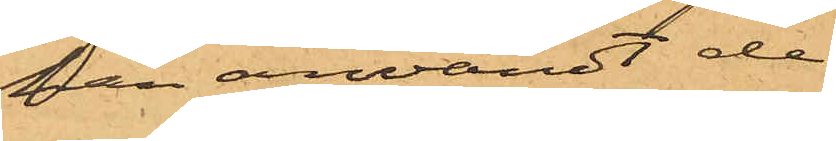han användt de
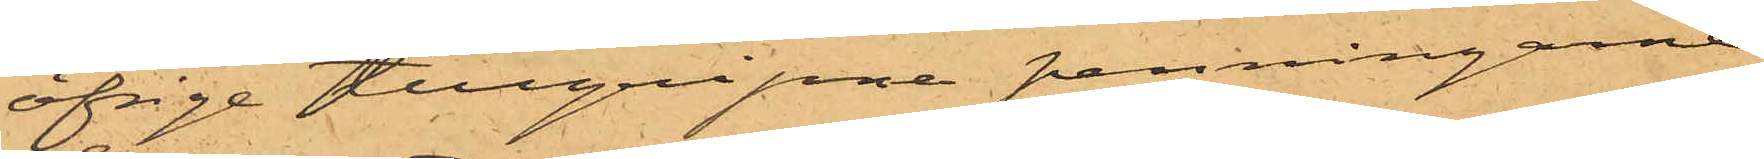öfrige tillgripna penningarne
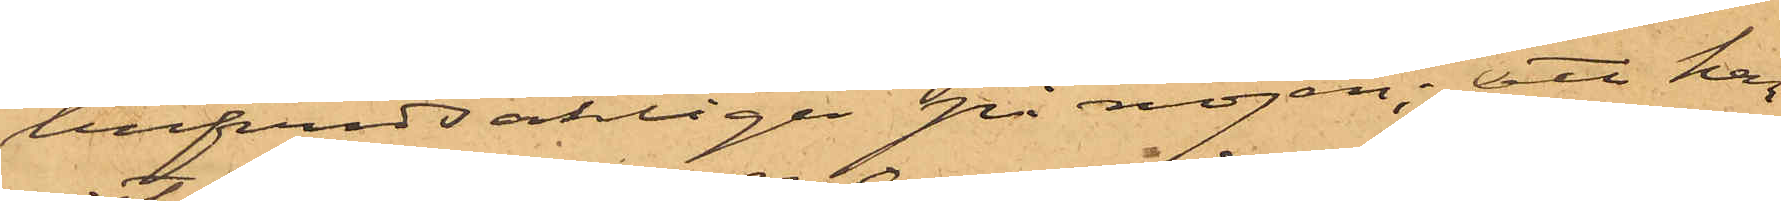hufvudsakligen på nöjen; att han
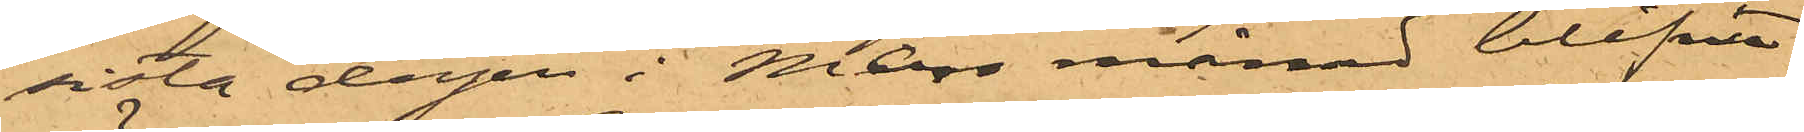sista dagen i Mars månad blifvit
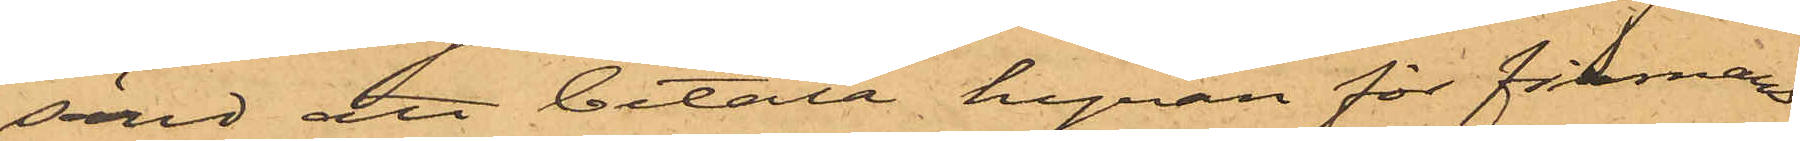sänd att betala hyran för firmans
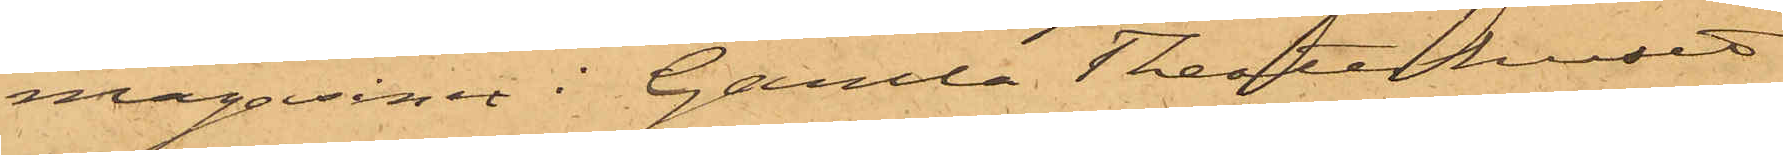magasiner i Gamla Theaterhuset
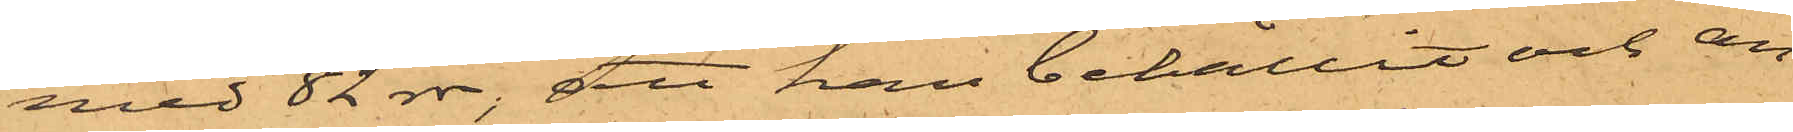med 82 rdr; att han behållit och an¬
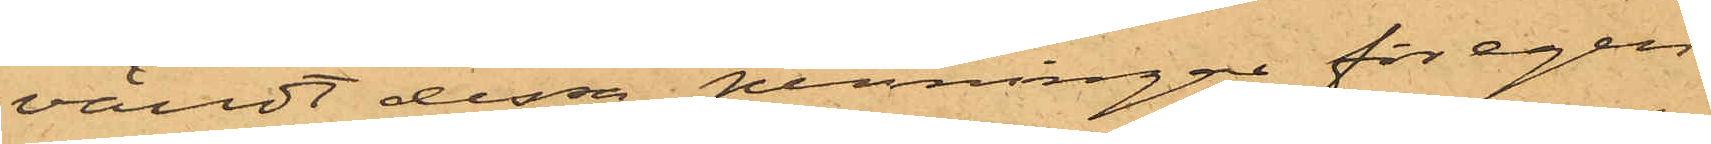vändt dessa penningar för egen
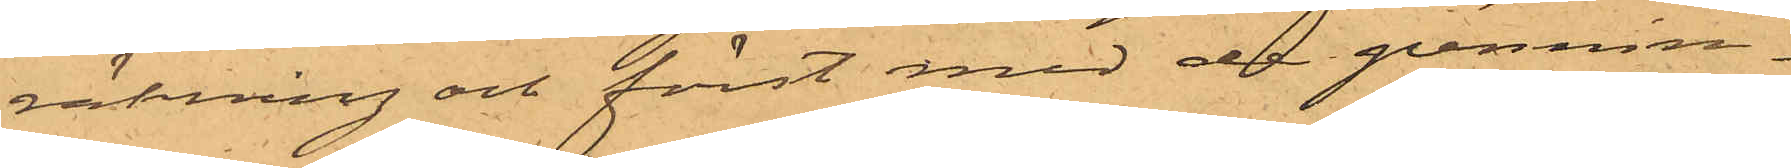räkning och först med de pennin¬
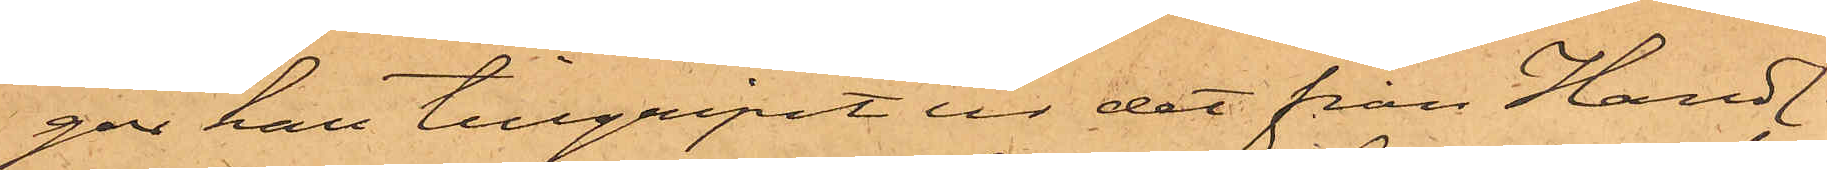gar han tillgripit ur det från Handl.
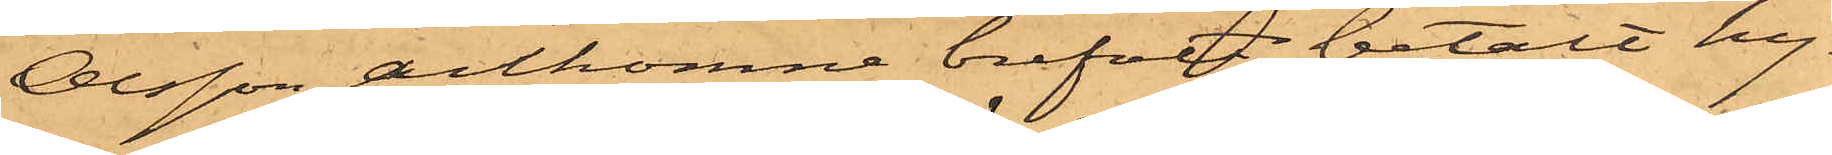Olsson ankomne brefvet betalt hy¬
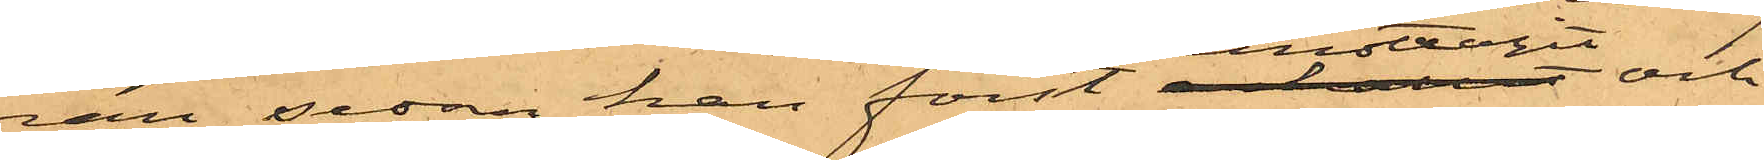ran, sedan han först emottagit och
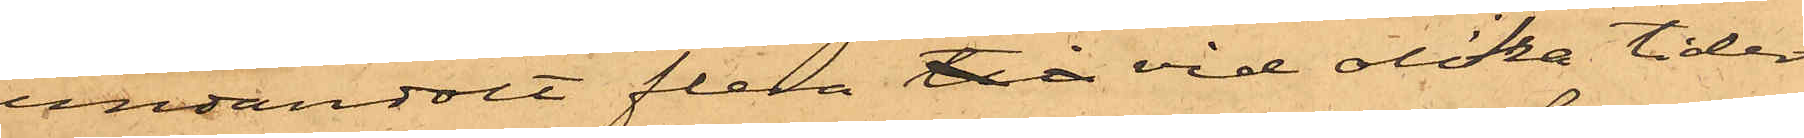undandolt flera till vid olika tider
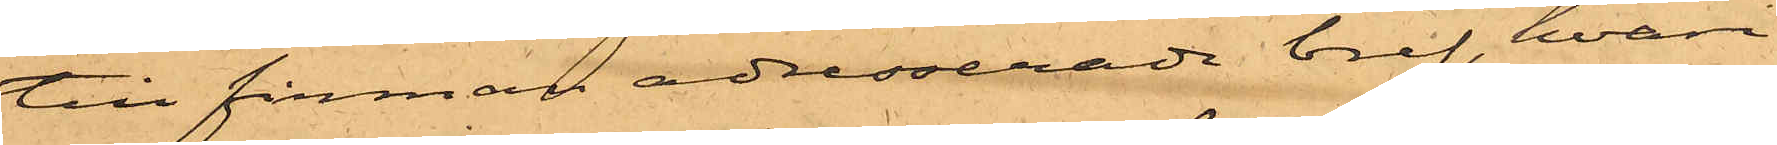till firman adresserade bref, hvari
